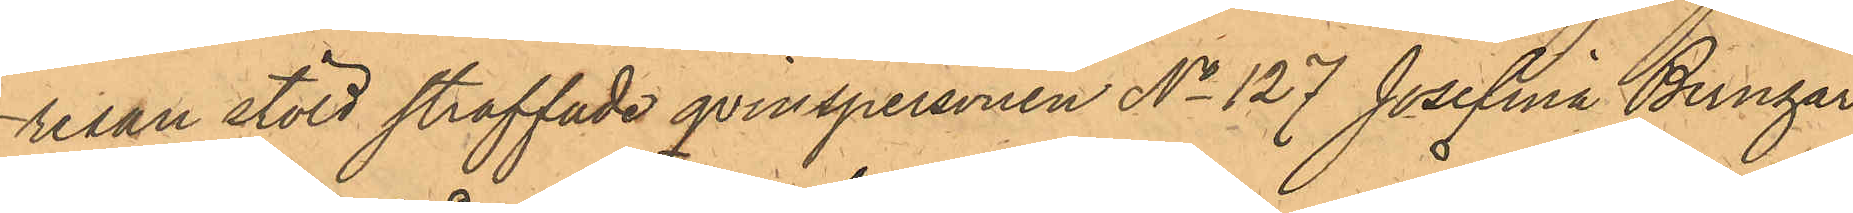resan stöld straffade qvinspersonen No 127 Josefina Bernhar¬
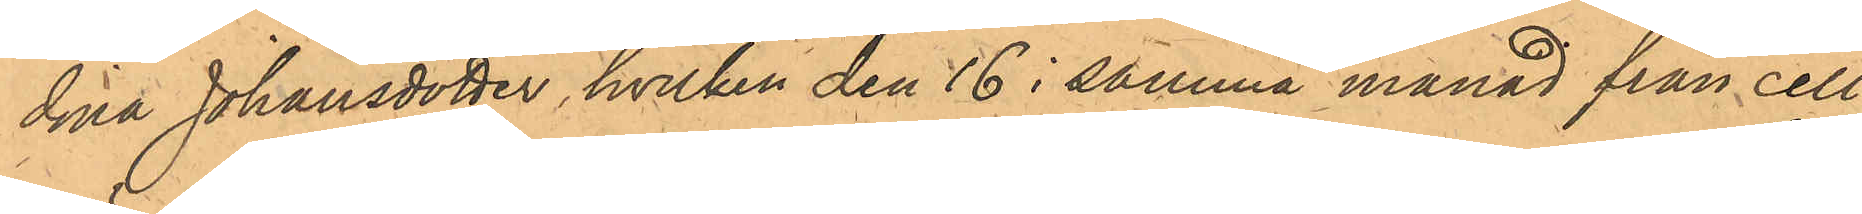dina Johansdotter, hvilken den 16 i samma månad från cell¬
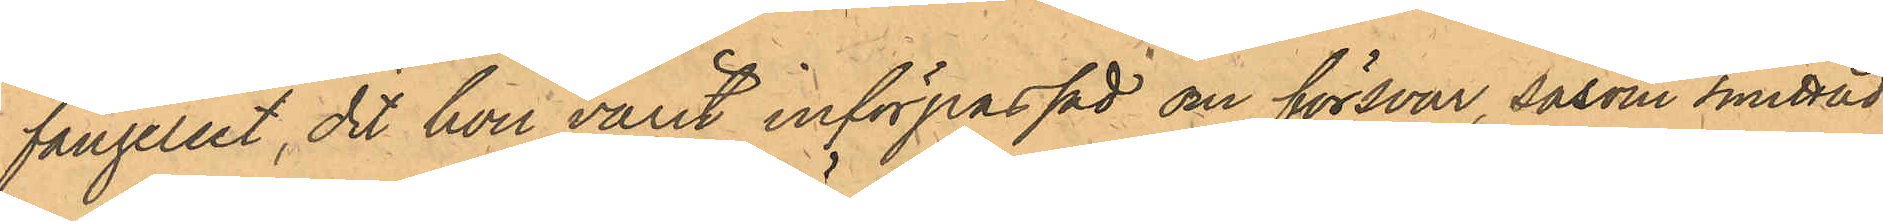fängelset, dit hon varit införpassad om försvar, såsom smittad
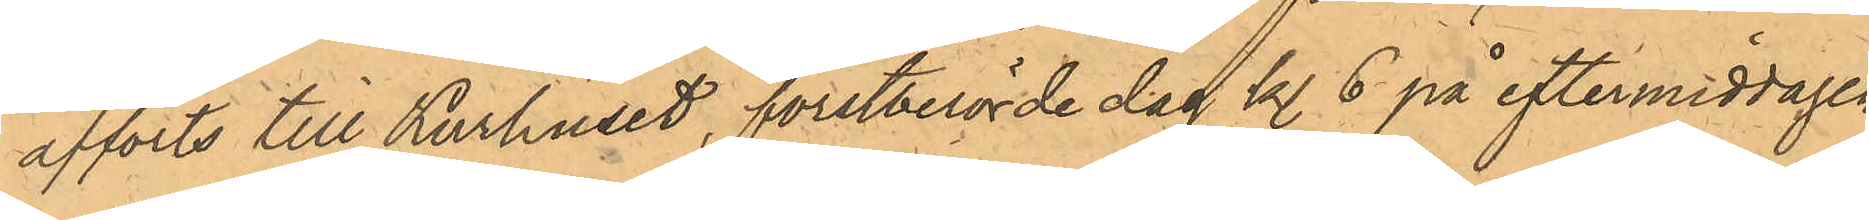afförts till Kurhuset, förstberörde dag kl. 6 på eftermiddagen
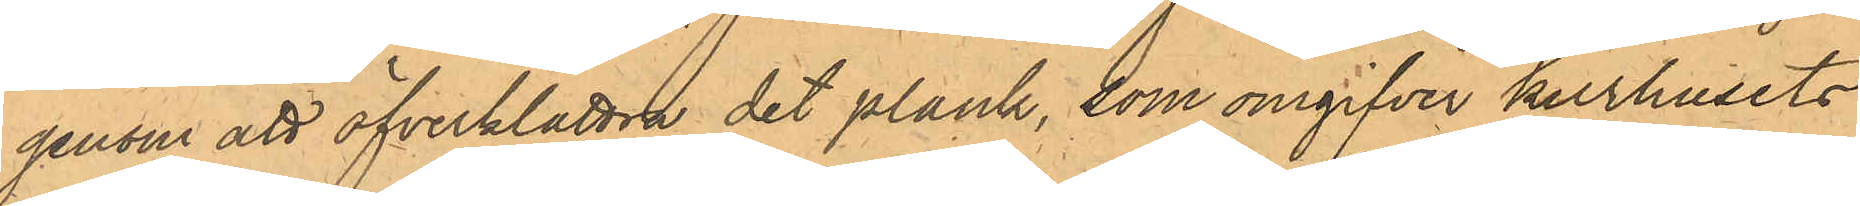genom att öfverklattra det plank, som omgifver kurhusets
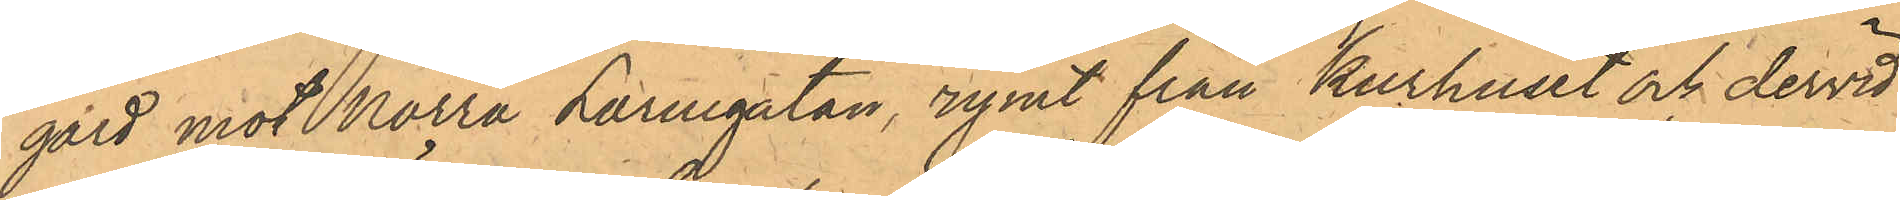gård mot Norra Larmgatan, rymt från Kurhuset och dervid
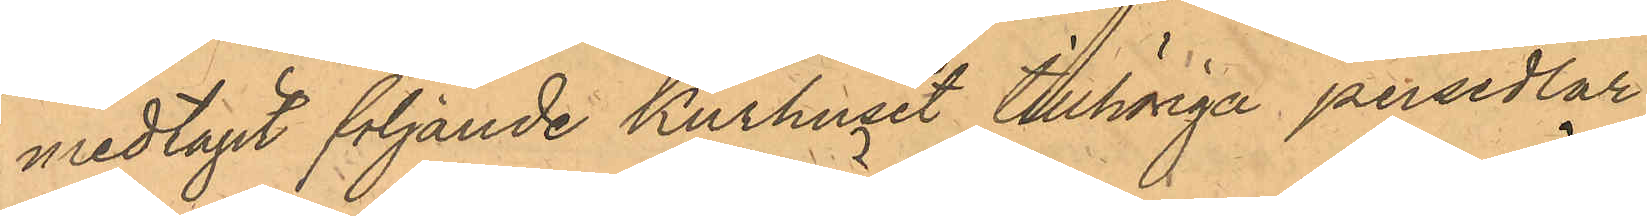medtagit följande Kurhuset tillhöriga persedlar:
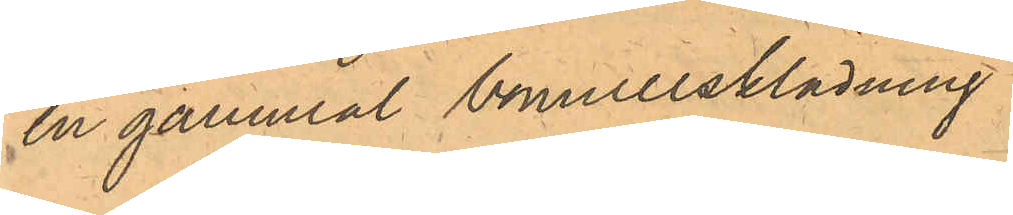en gammal bomullsklädning
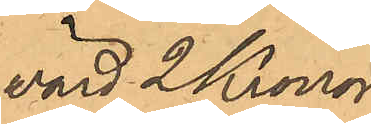värd 2 Kronor
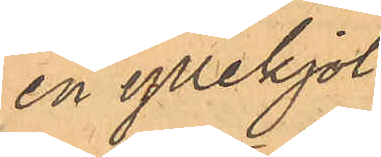en yllekjol
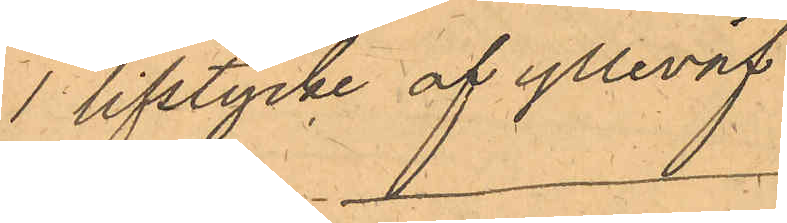1 lifstycke af ylleväv
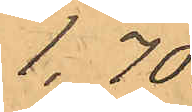1,70.
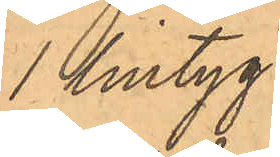1 lintyg
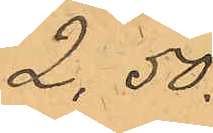2,50
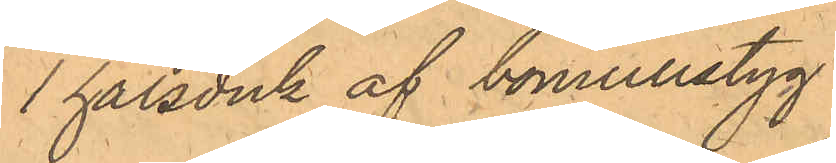1 halsduk af bomullstyg
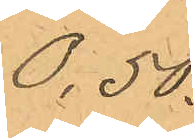0,50.
